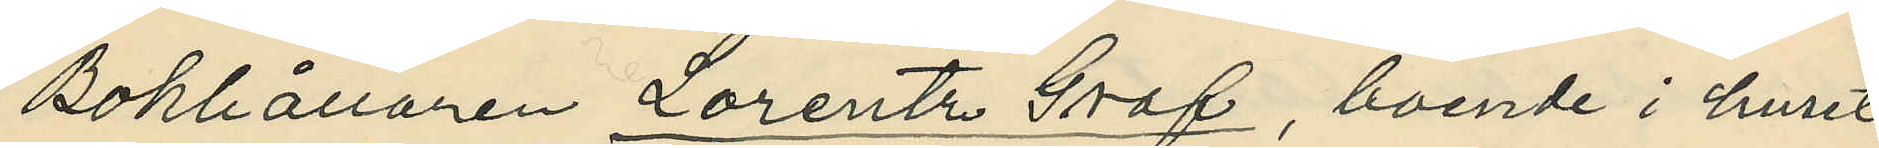Bokhållaren Lorentz Graf, boende i huset
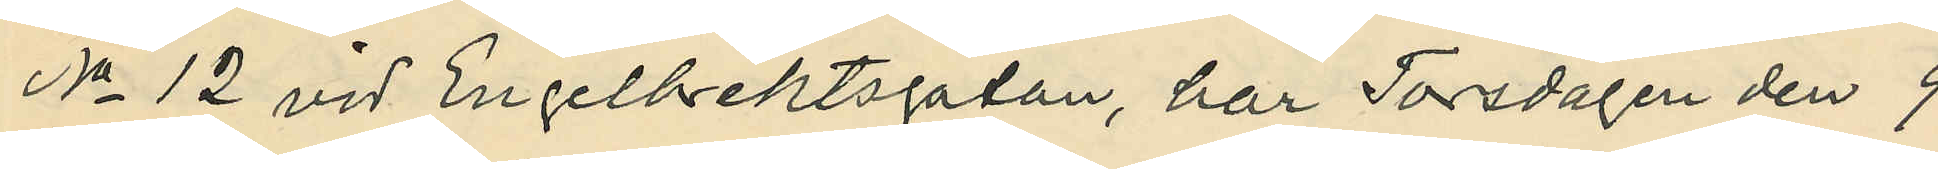No 12 vid Engelbrektsgatan, har Torsdagen den 9
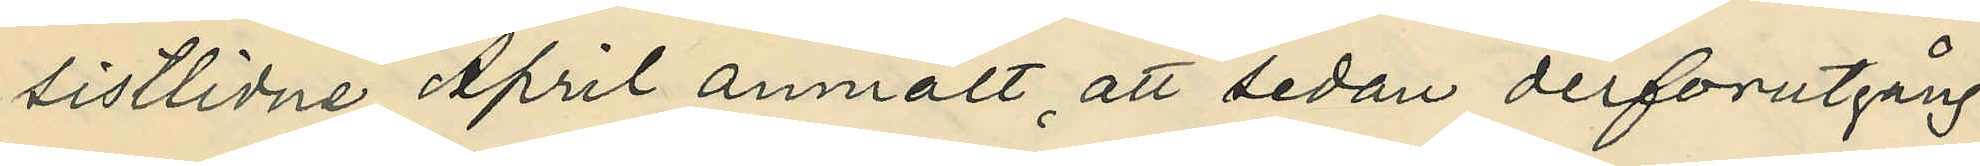sistlidne April anmält, att sedan derforutgång¬
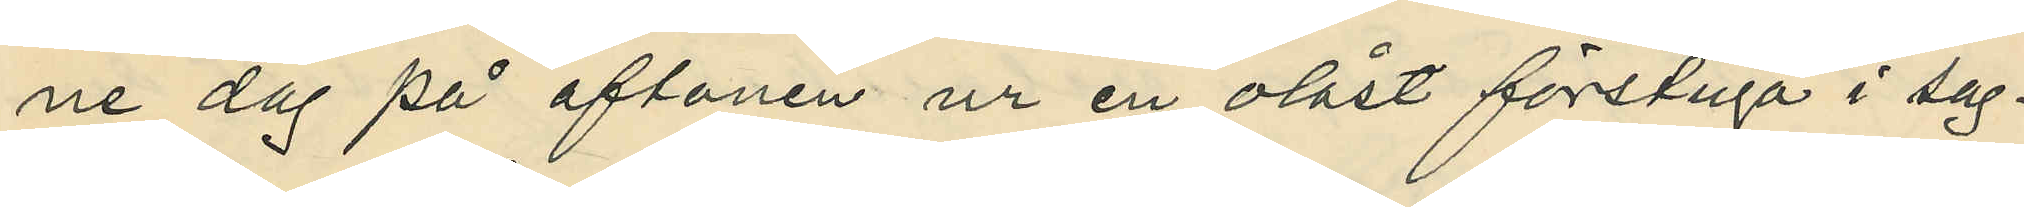ne dag på aftonen ur en olåst förstuga i sag¬
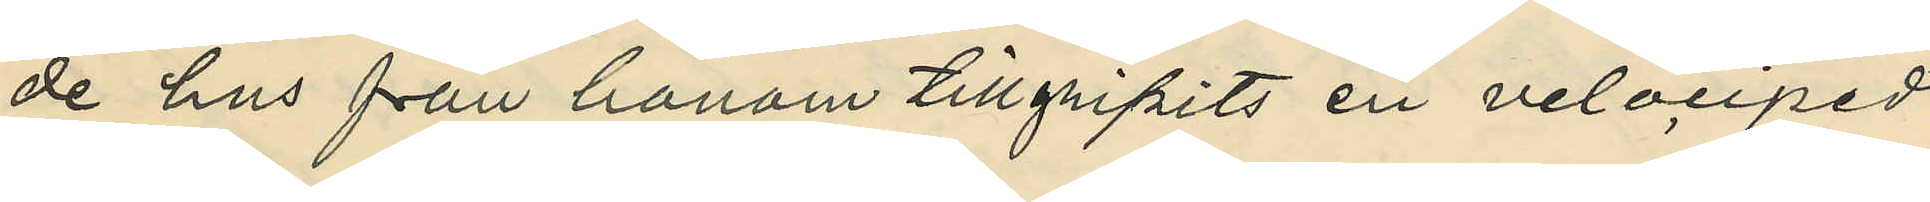de hus från honom tillgripits en velociped
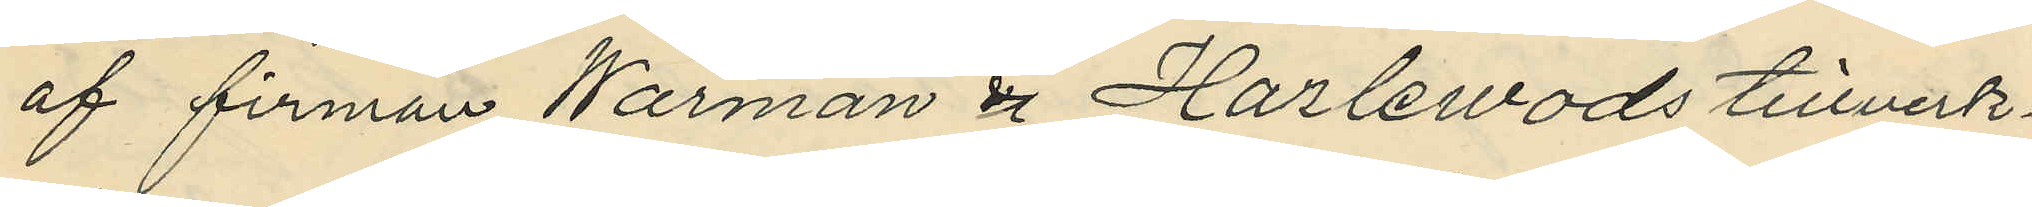af firman Warman & Harlewods tillverk¬
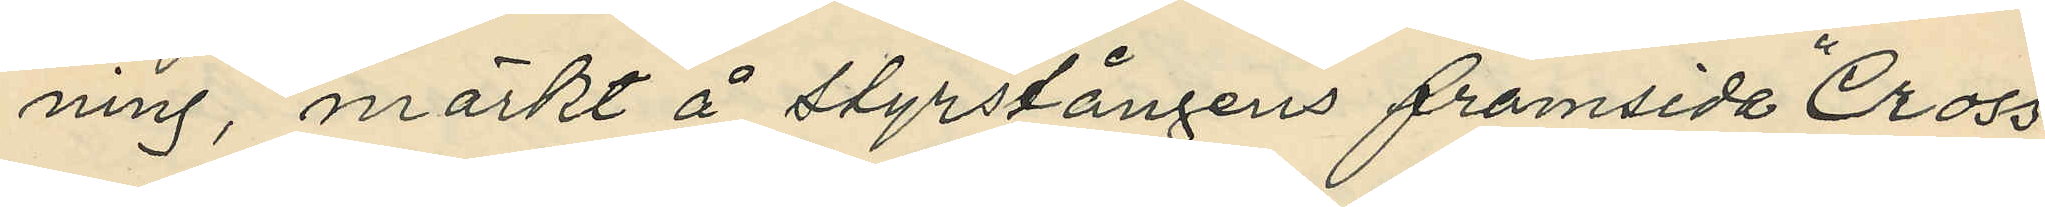ning, märkt å styrstångens framsida "Cross
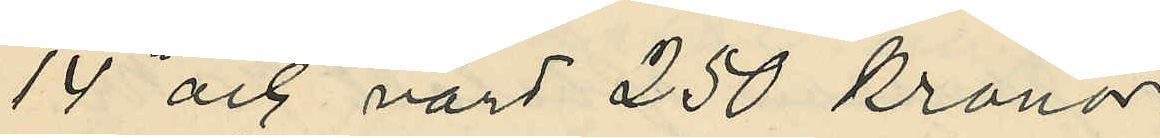14" och värd 250 kronor.
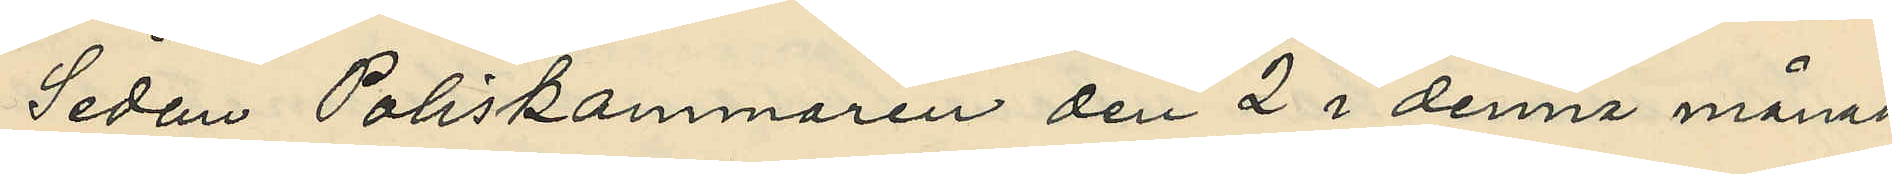Sedan Poliskammaren den 2 i denna månad
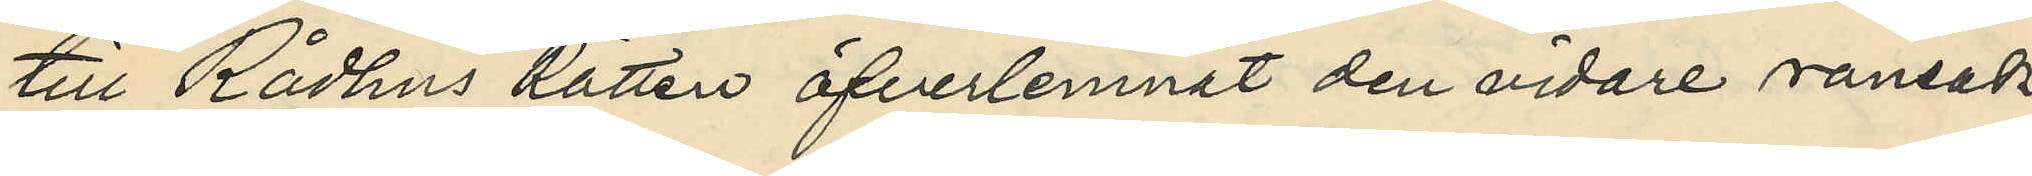till Rådhus Rätten öfverlemnat den vidare ransak¬
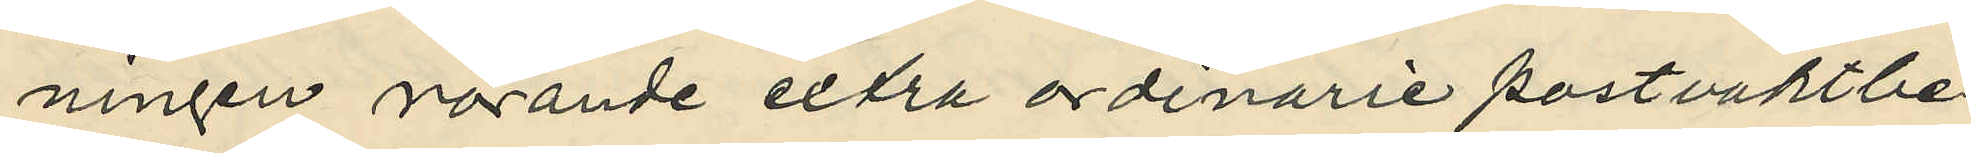ningen rörande extra ordinarie postvaktbe¬
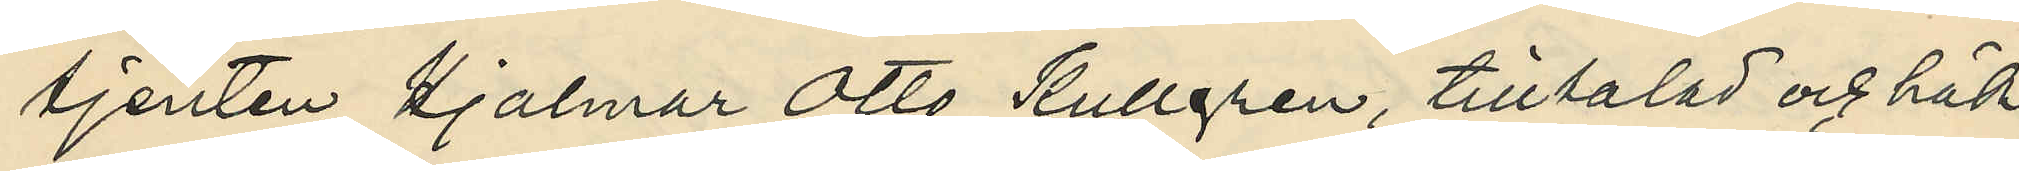tjenten Hjalmar Otto Kullgren, tilltalad och häk¬
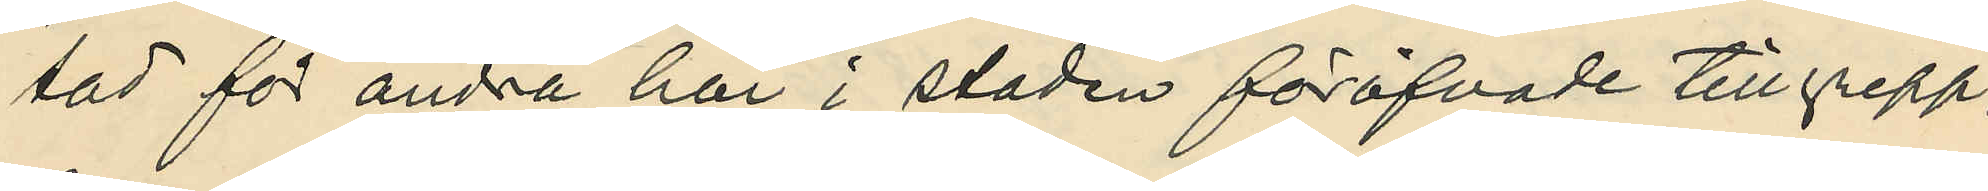tad för andra här i staden föröfvade tillgrepp,
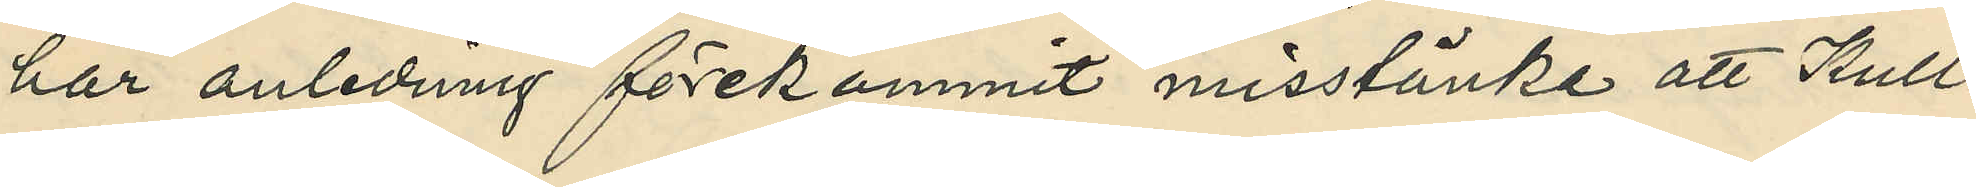har anledning förekommit misstänka att Kull¬
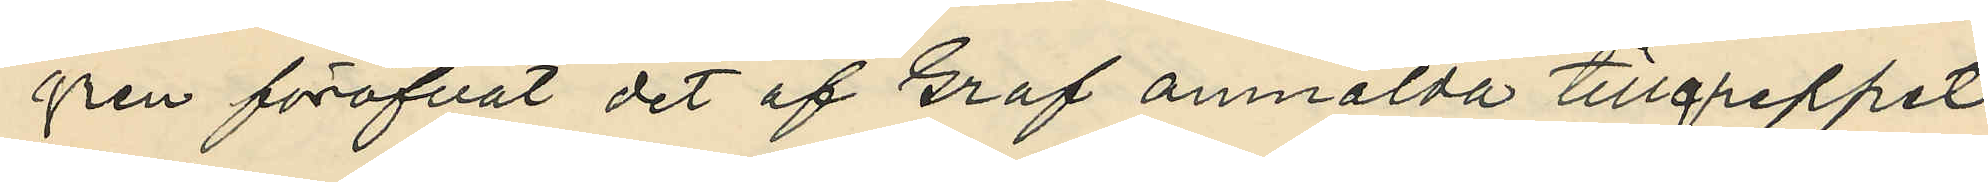gren föröfvat det af Graf anmälda tillgreppet.
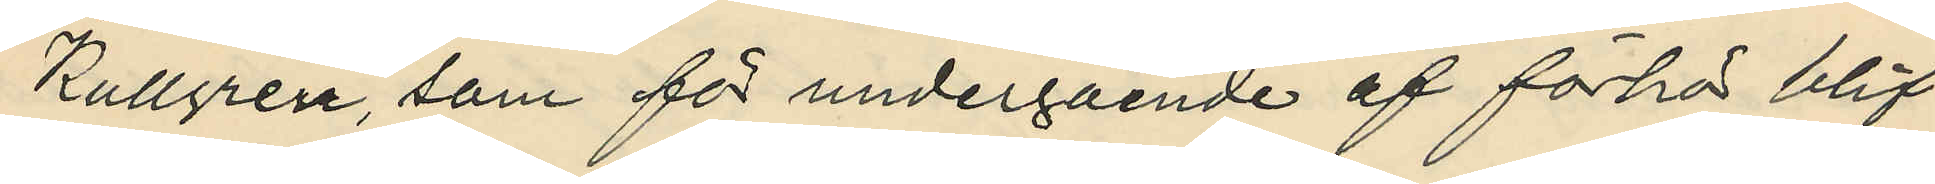Kullgren, som för undergående af förhör blif¬
